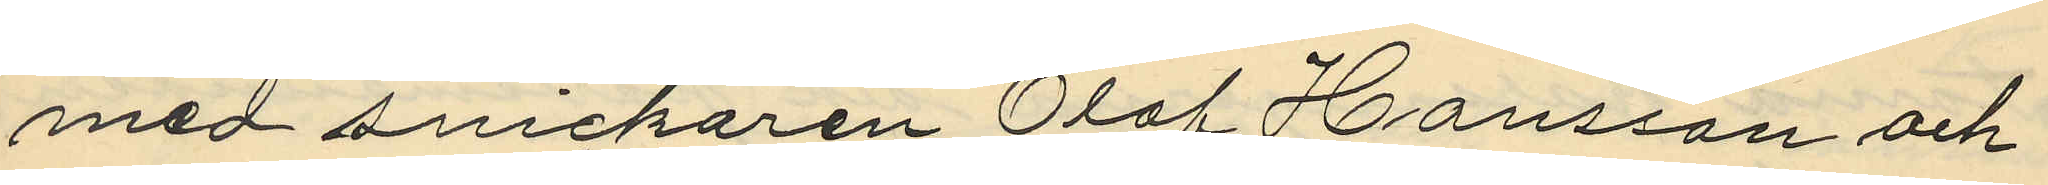med snickaren Olof Hansson och
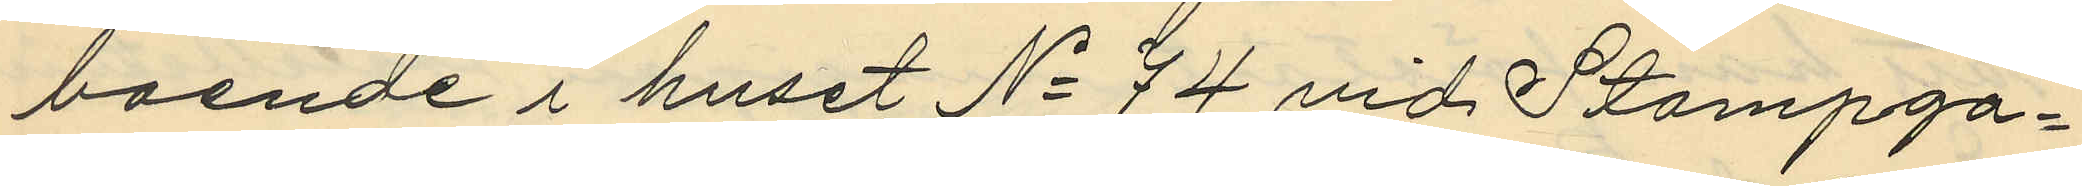boende i huset No 74 vid Stampga¬
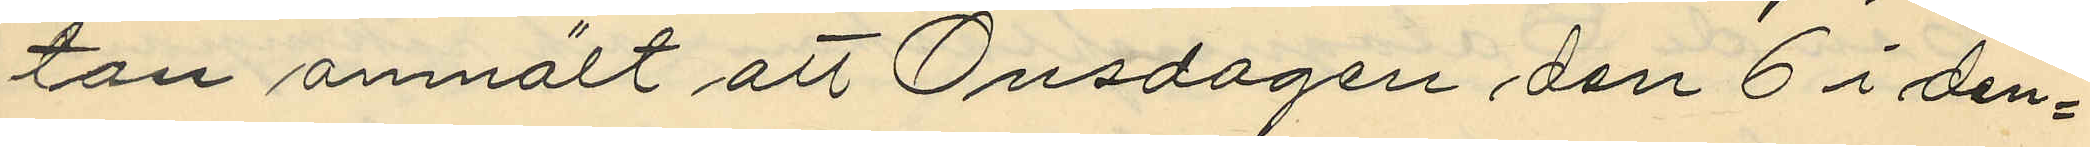tan anmält att Onsdagen den 6 i den¬
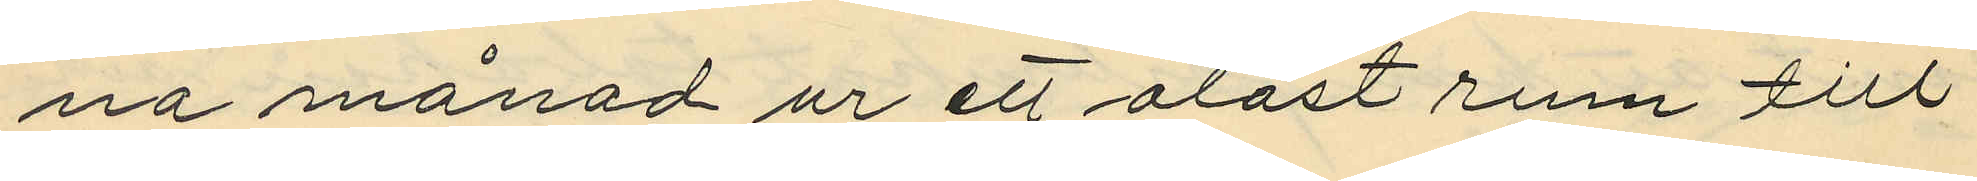na månad ur ett olåst rum till
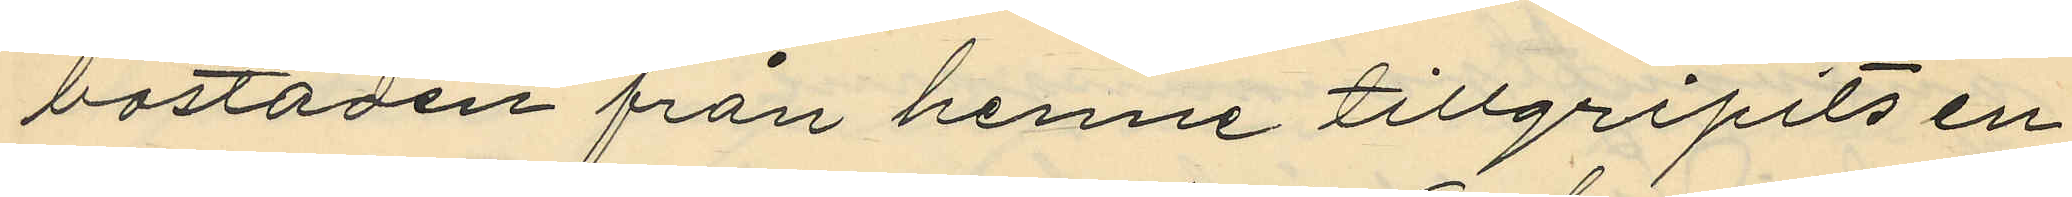bostaden från henne tillgripits en
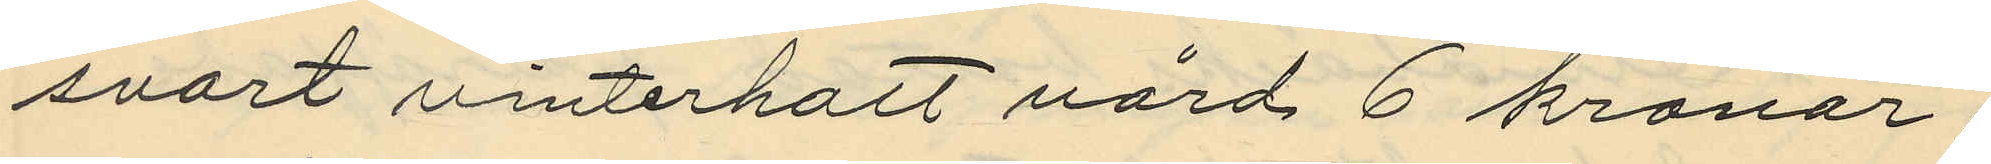svart vinterhatt värd 6 kronor;
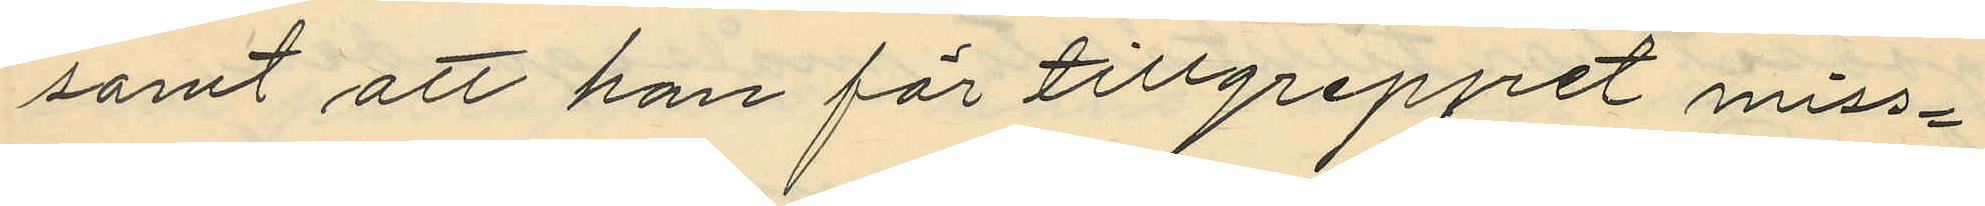samt att han för tillgreppet miss¬
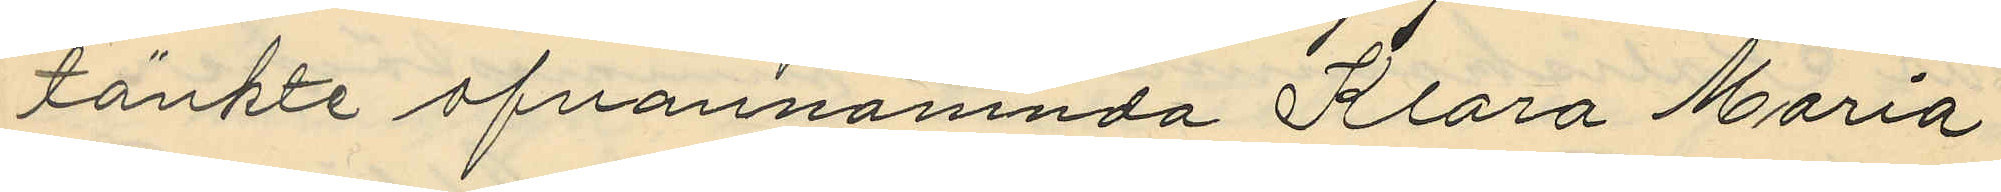tänkte ofvannämnda Klara Maria
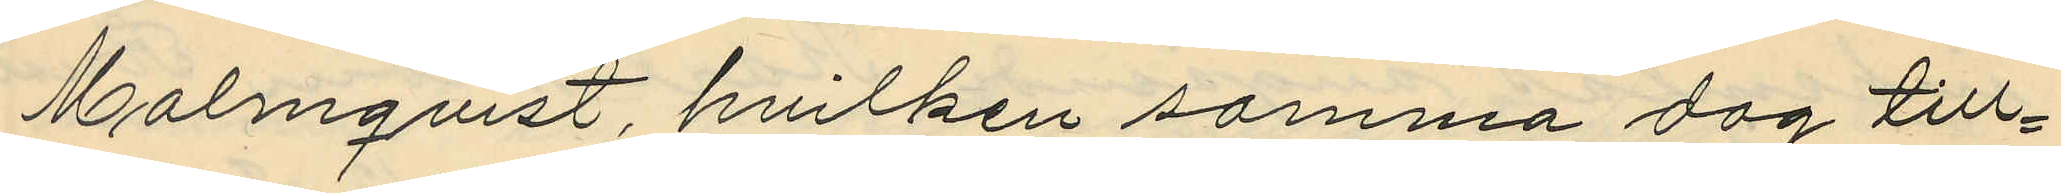Malmqvist, hvilken samma dag till¬
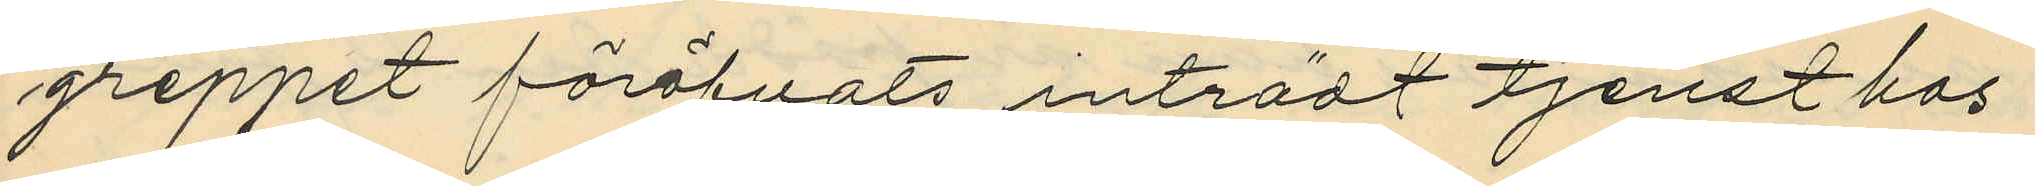greppet föröfvats inträdt tjenst hos
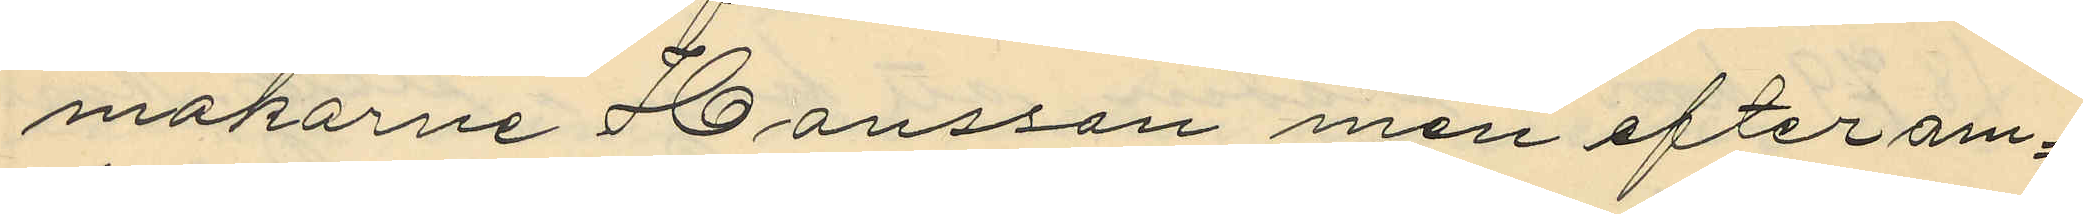makarne Hansson men efterom¬
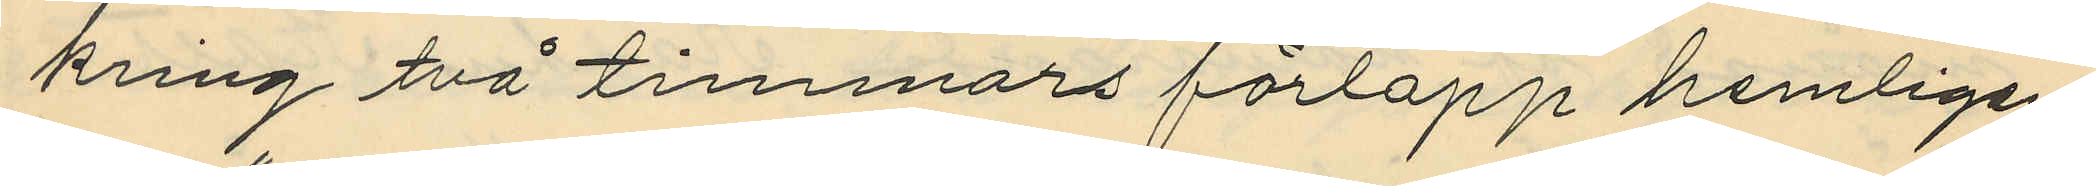kring två timmars förlopp hemligen
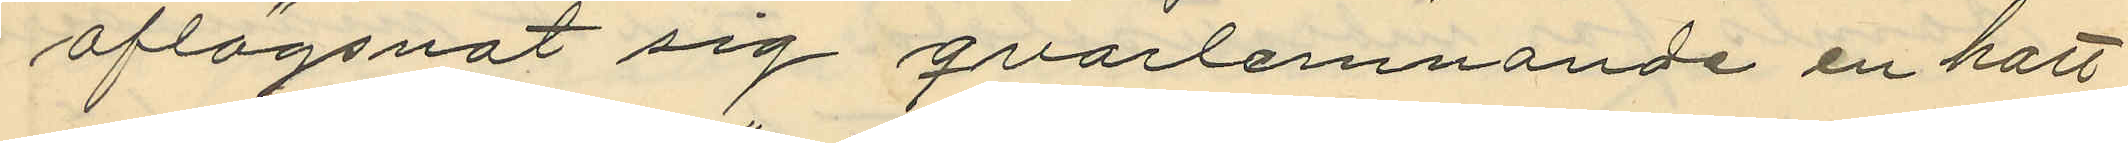aflägsnat sig qvarlemnande en hatt
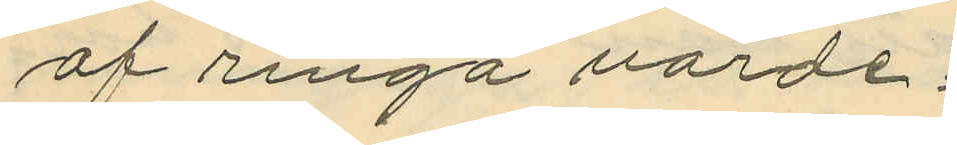af ringa värde;
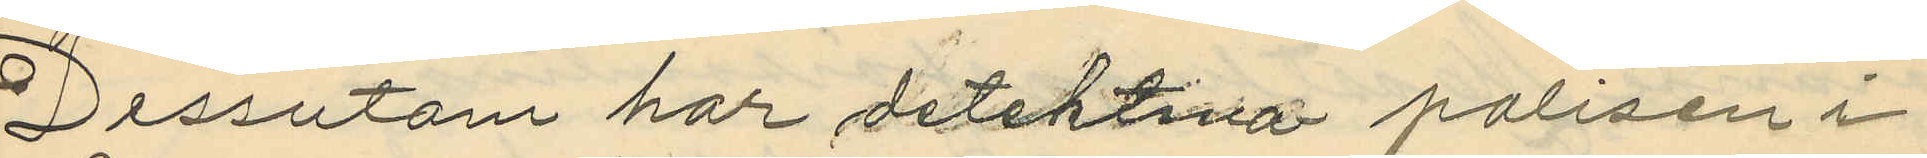Dessutom har detektiva polisen i
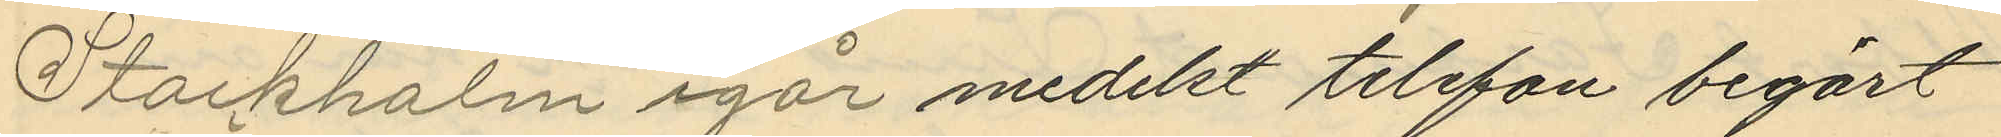Stockholm igår medelst telefon begärt
